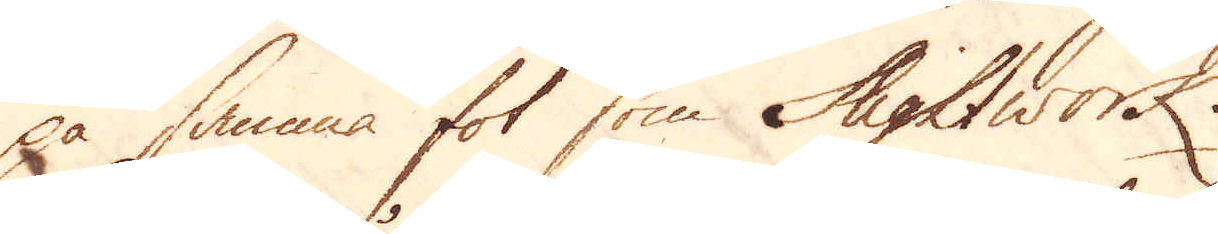på samma fot som Slightwork.
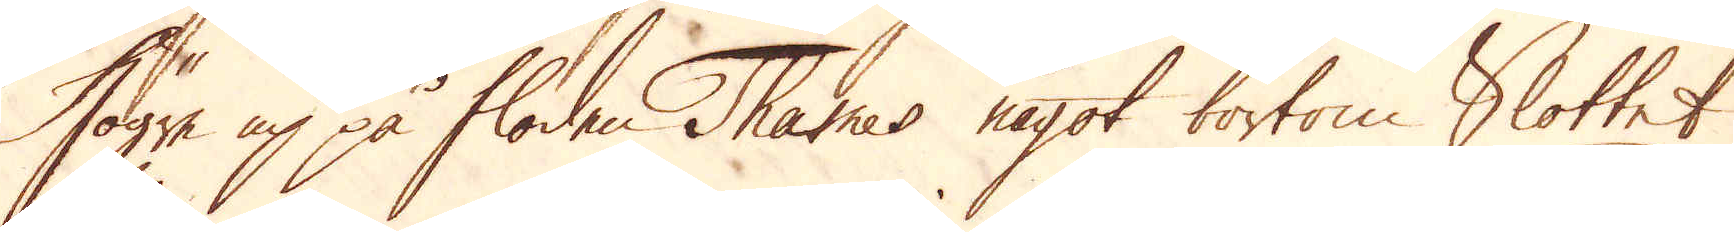Högre up på floden Thames något bortom Slottet,
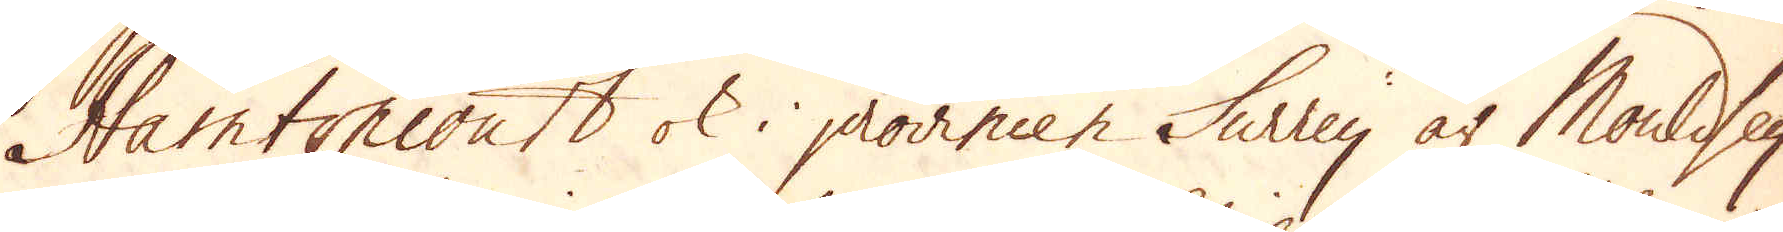Hamtoncourt ok i provincen Surrey är Mouldsey
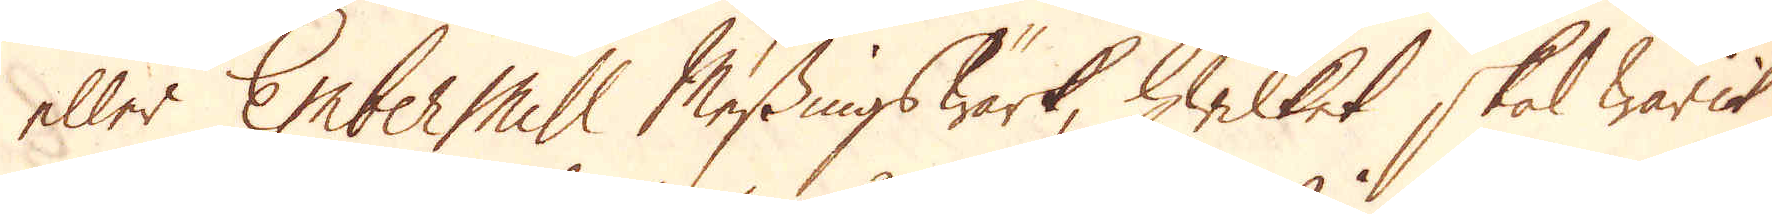eller Ember Mill Messingswärk, hwilket skal warit
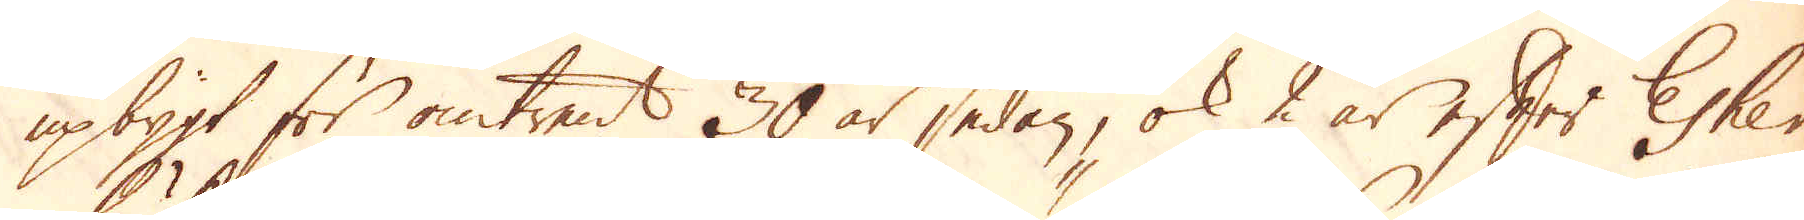upbygt för omtrent 30 år sedan, ok 2 år efter Esher
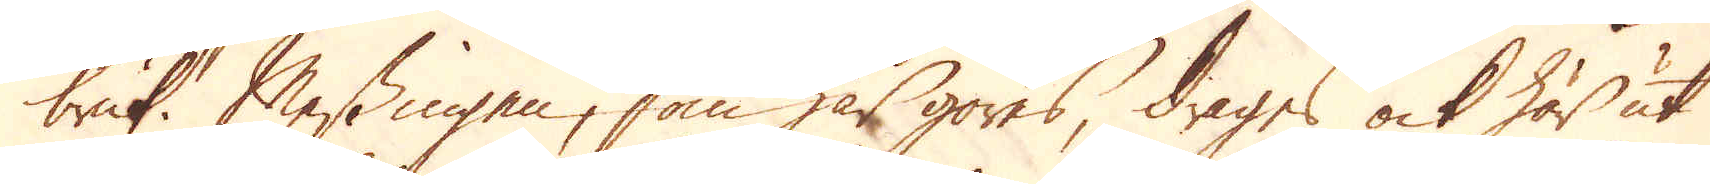bruk. Messingen, som har göres, drages ock här ut
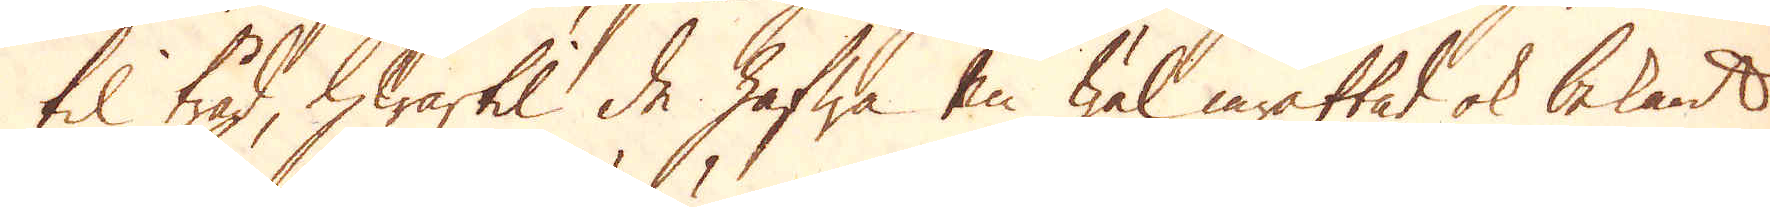til tråd, hwartil de hafwa en wäl inrättad ok bekant
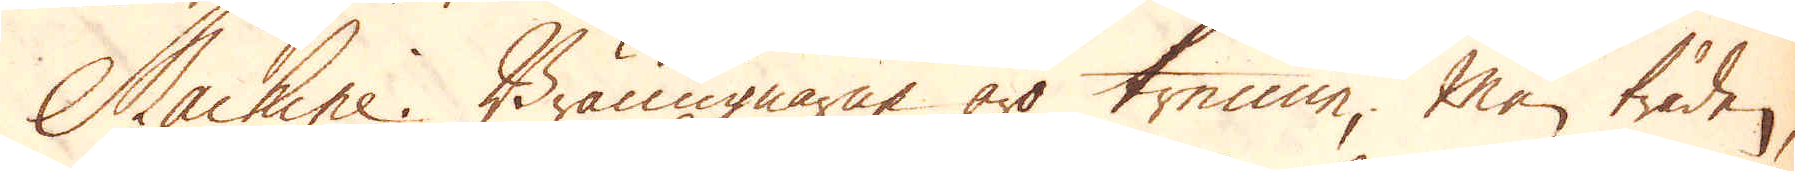Machine. Bränugnarne äro trenne; Men tråden,
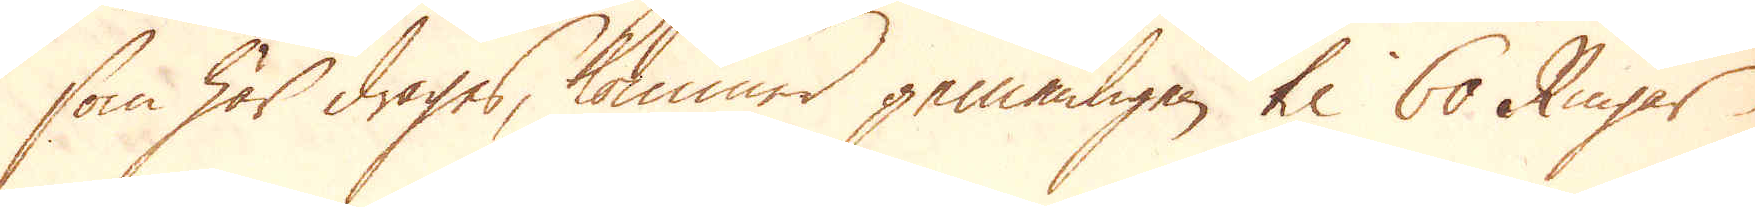som här dragas, kommer gemenligen til 60 Ringar
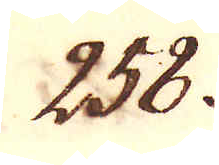258.
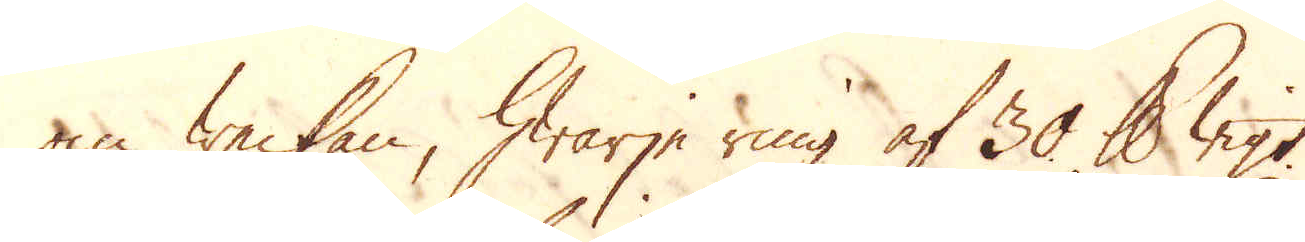om weckan, hwarje ring af 30 skålpund wigt.
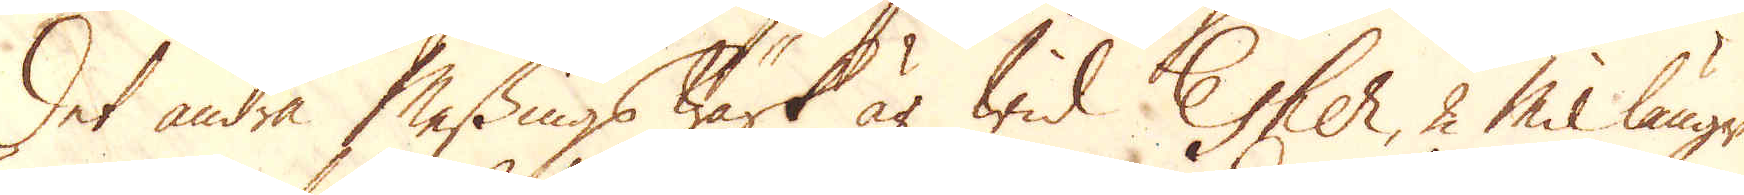Det andra Messingswärk är wid Esher, 2 Mil läng-
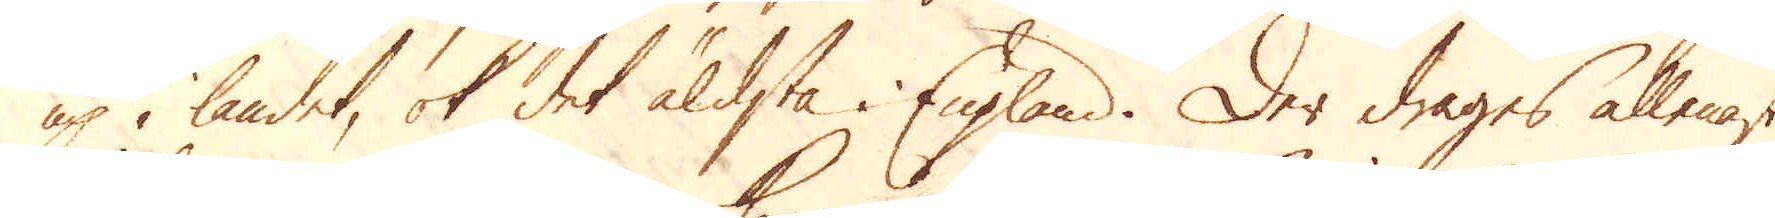up i landet, ok det äldsta England. Der drages allenast
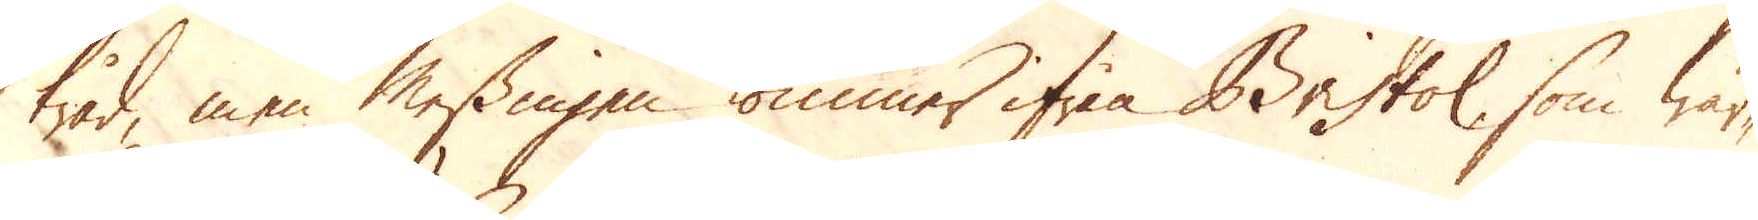tråd, men Messingen kommer ifrån Bristol, som wär-
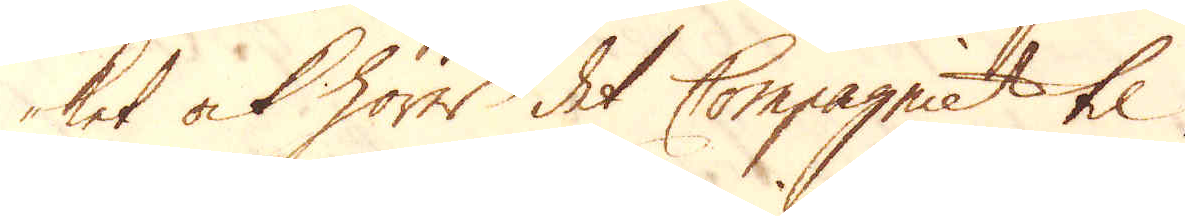ket ock hörer det Compagniet til.
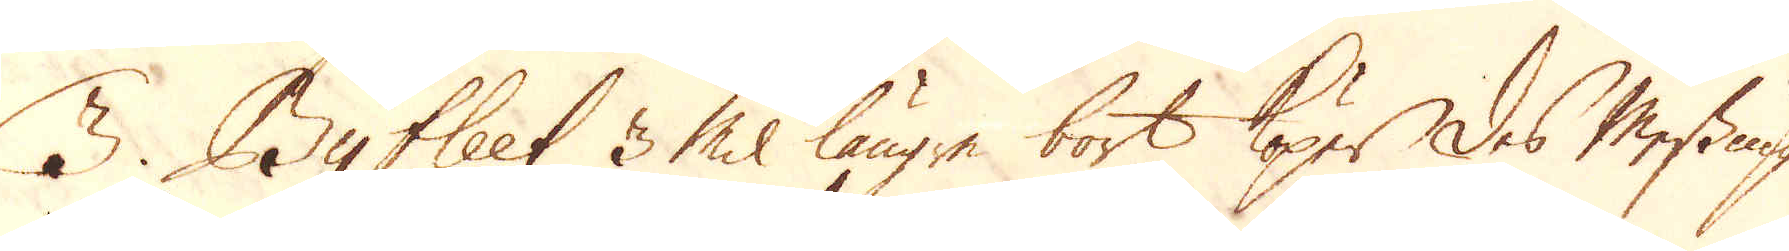3. Byfleet 3 Mil längre bort köper des Messing
